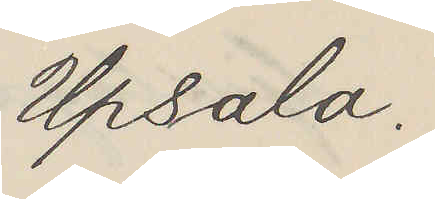Upsala.
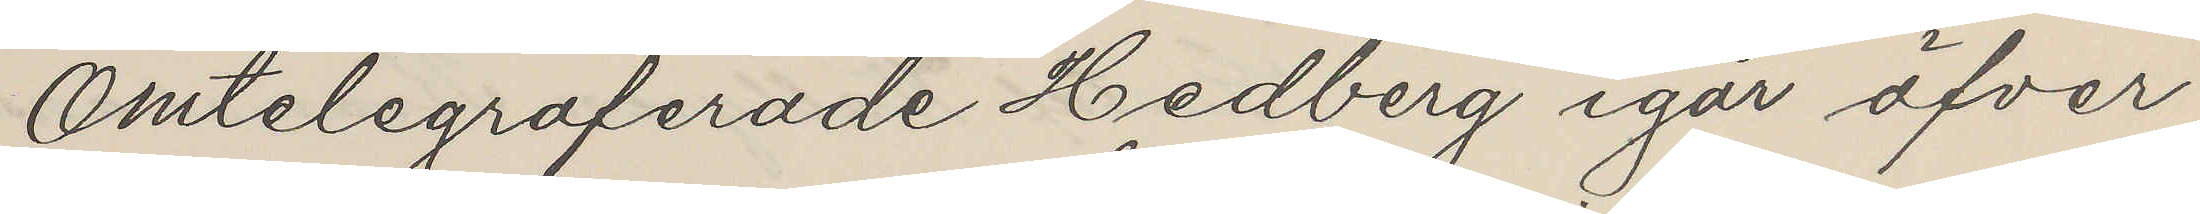Omtelegraferade Hedberg igår öfver
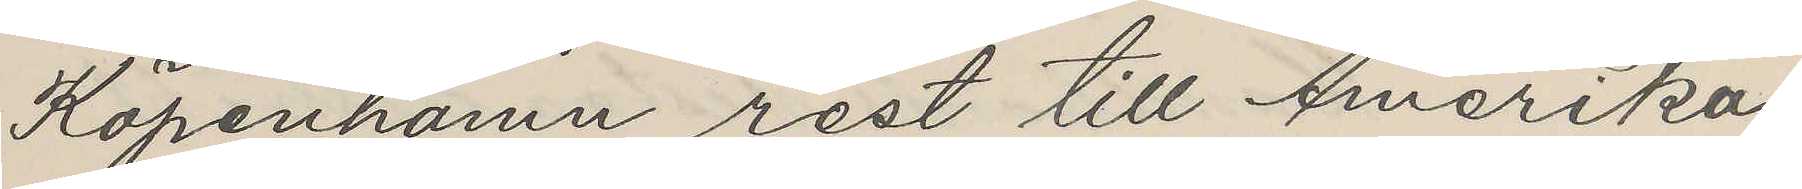Köpenhamn rest till Amerika
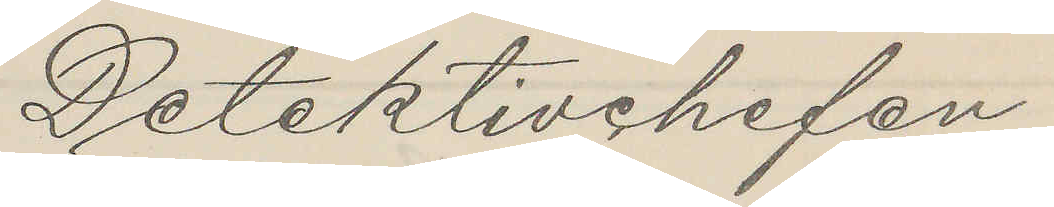Detektivchefen
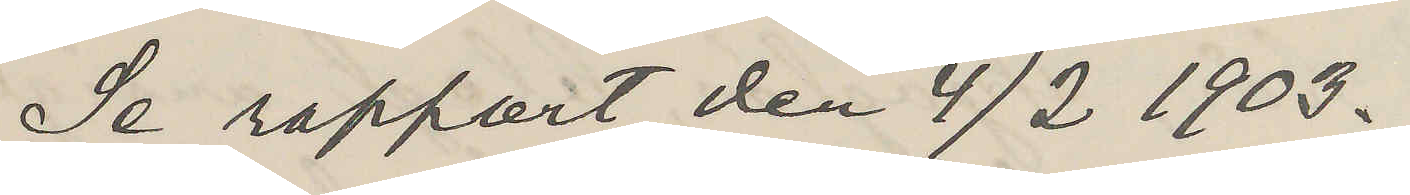Se rapport den 4/2 1903.
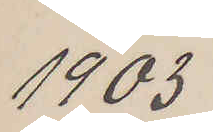1903
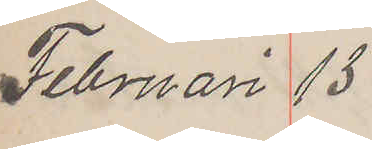Februari 13
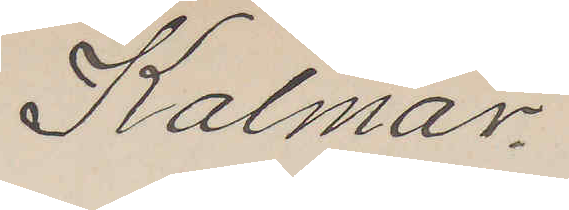Kalmar.
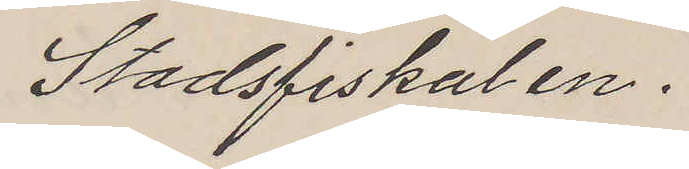Stadsfiskalen.
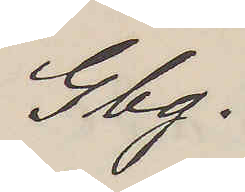Gbg.
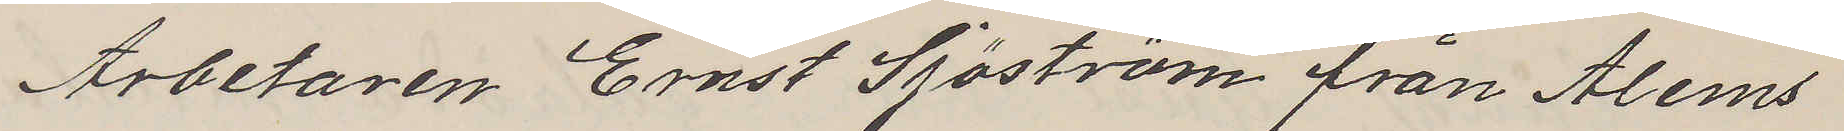Arbetaren Ernst Sjöström från Ålems
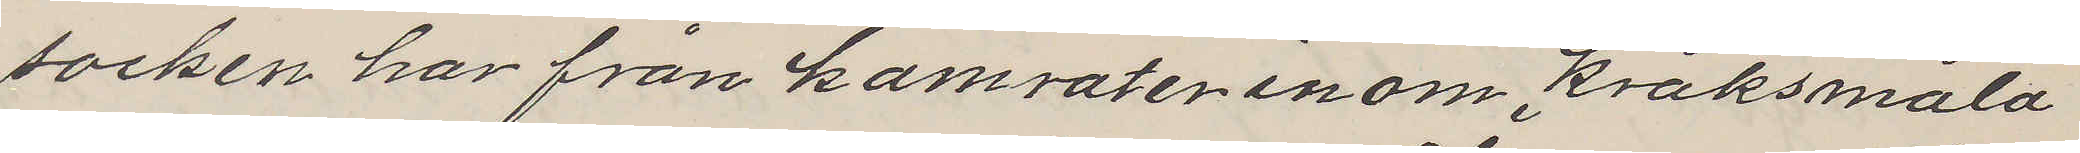socken har från kamrater inom kråksmåla
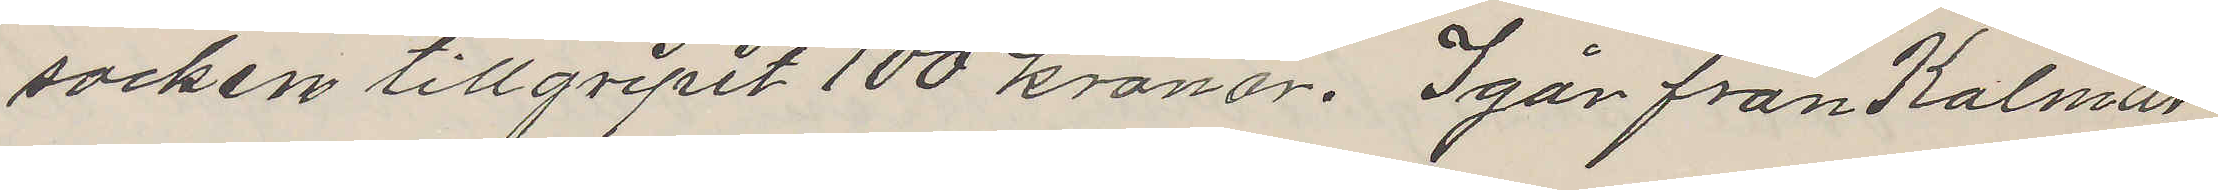socken tillgripit 100 kronor. Igår från Kalmar
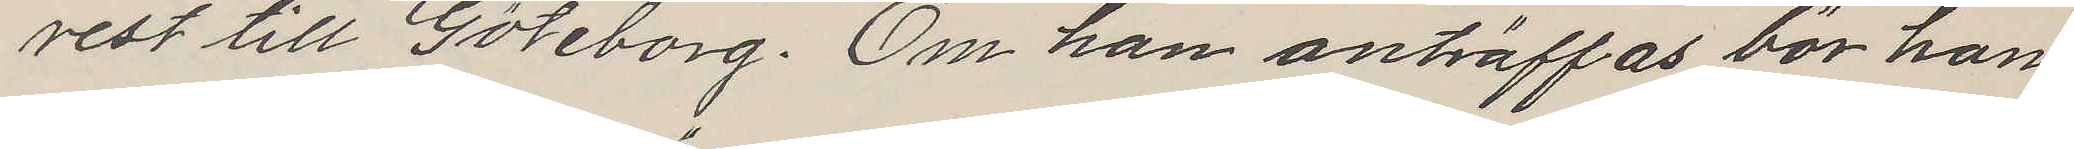rest till Göteborg. Om han anträffas bör han
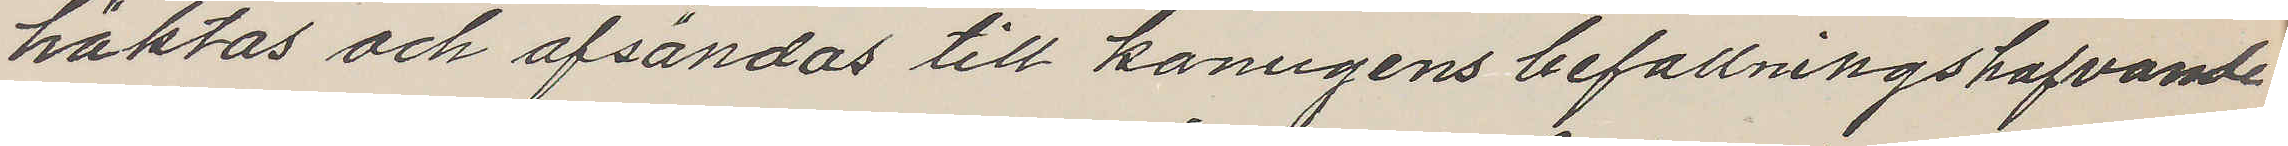häktas och afsändas till konungnes befallningshafvande
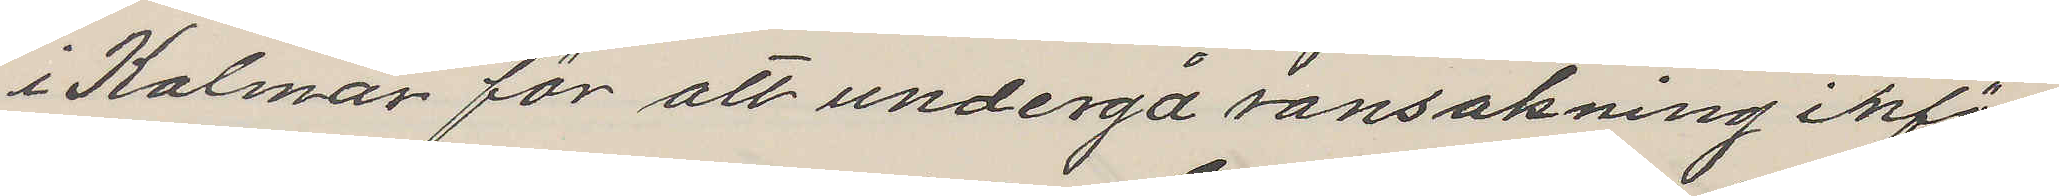i Kalmar för att undergå ransakning inför
